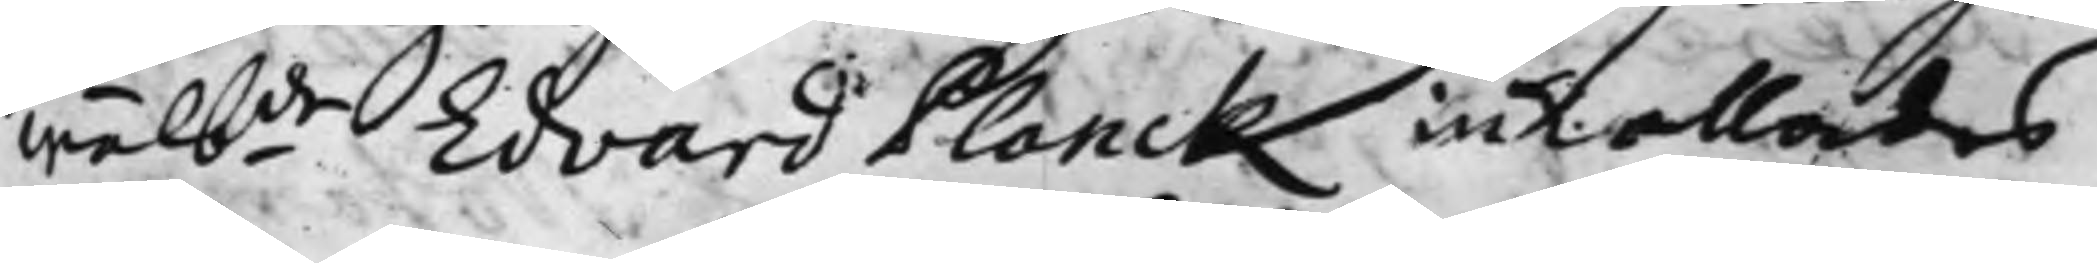wälbde Edvard Planck inkallades
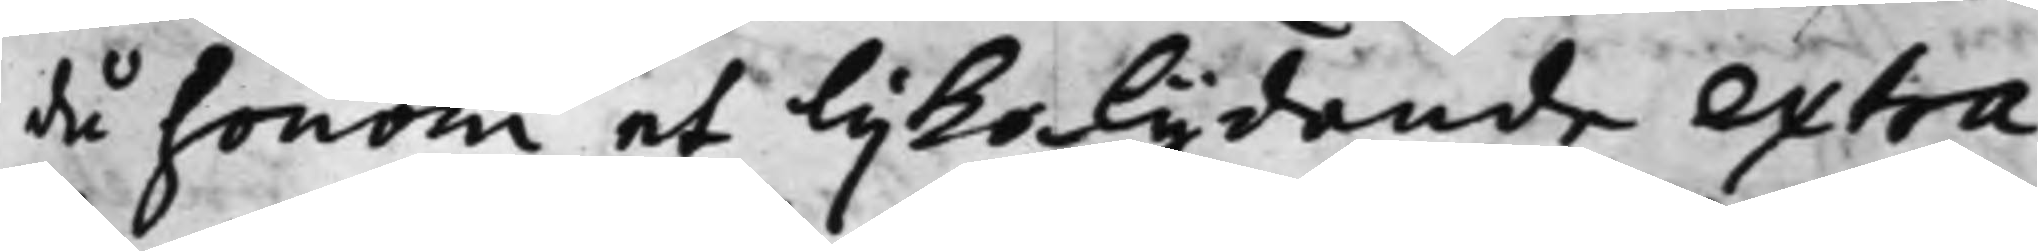då honom et lijkalydande extra¬
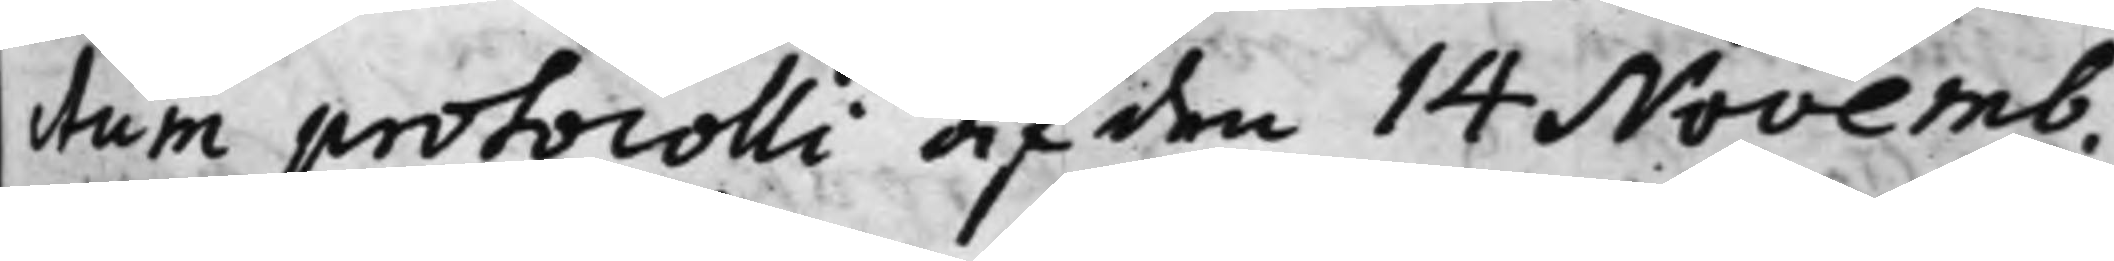ctum protocolli af den 14 Novemb.
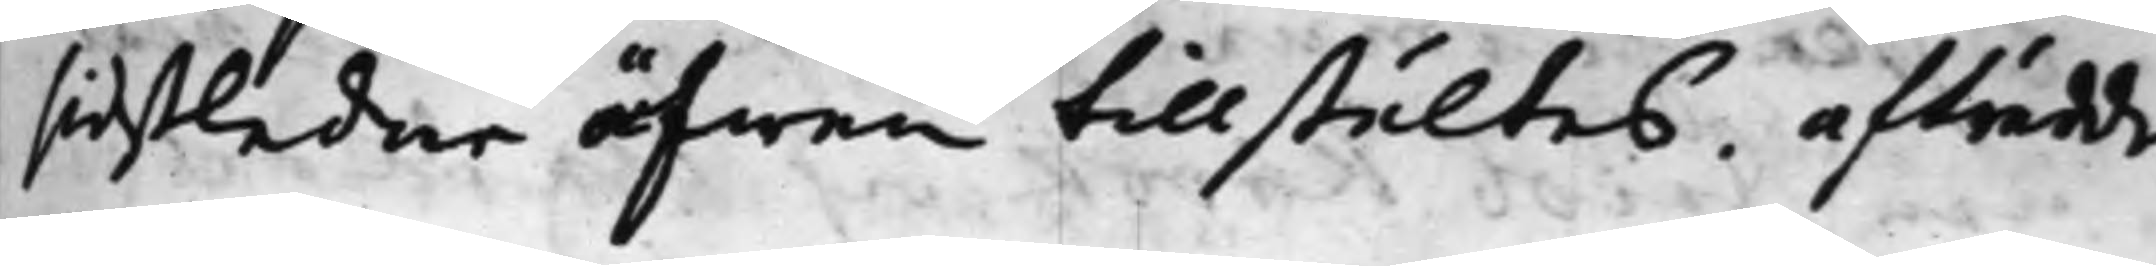sidstledne äfwen tillstältes. afträdde.
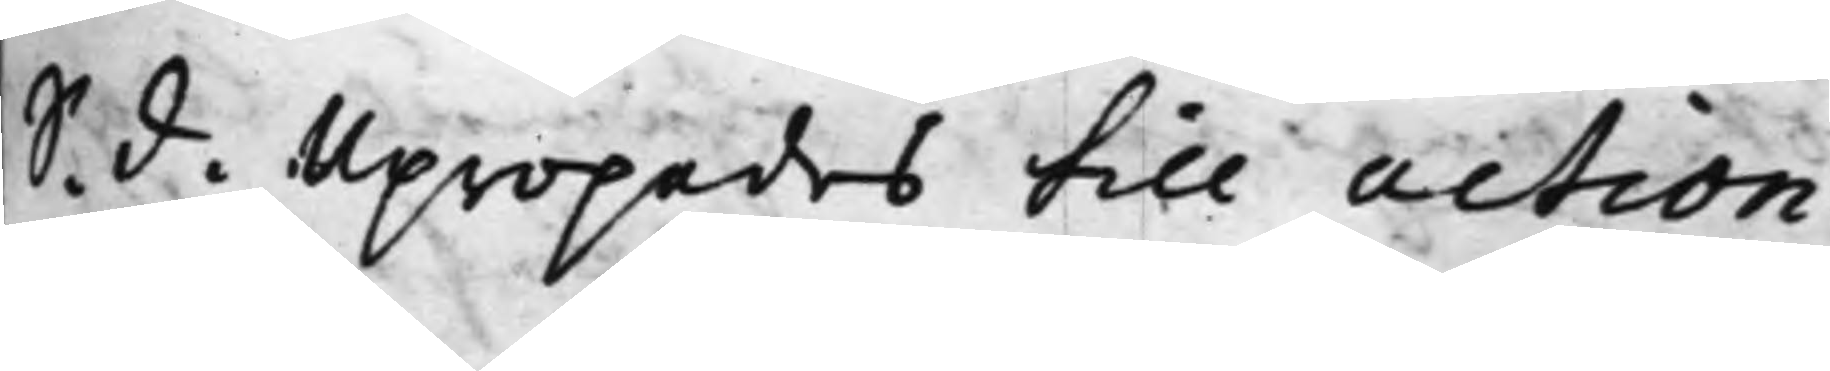S. d. Upropades till action
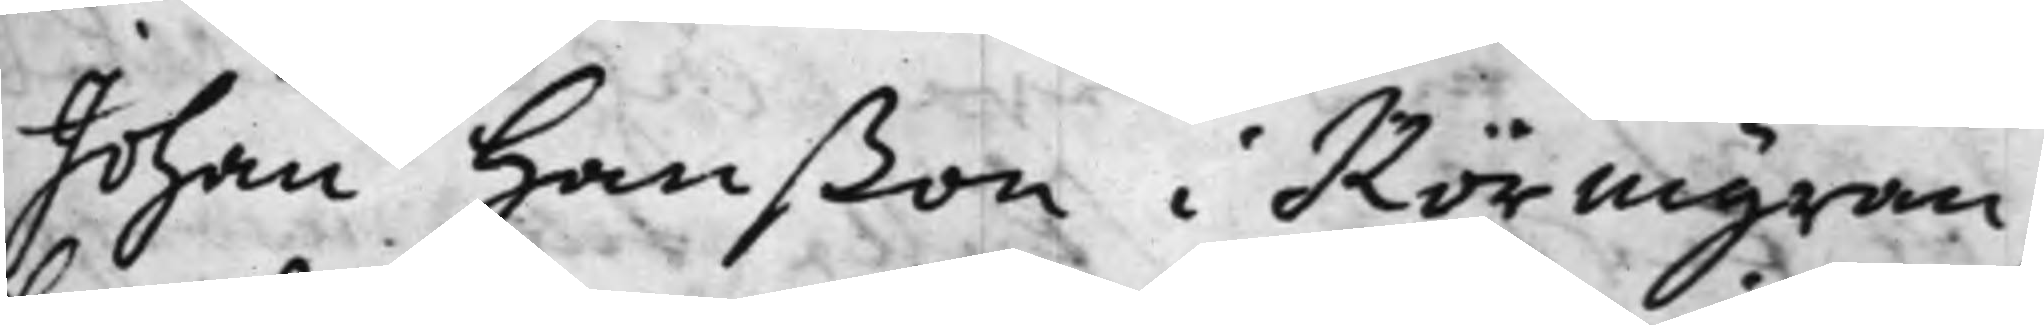Johan Hanßon i Rörmyran;
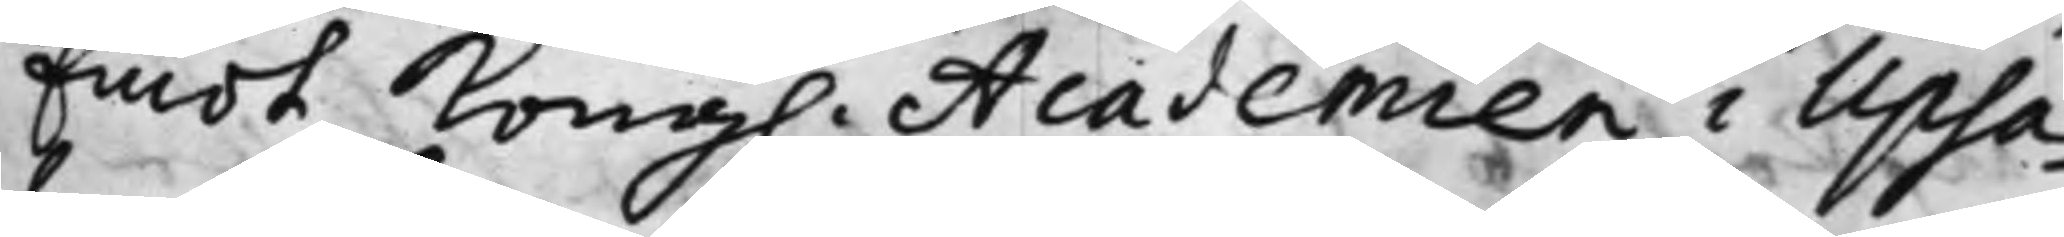Emot Kong. Academien i Upsa¬
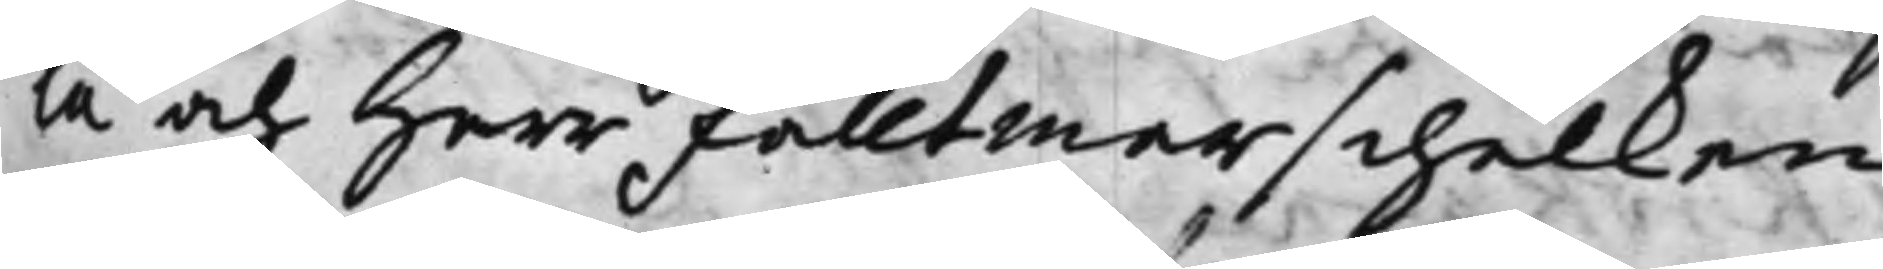la och Herr Fälltmarschalken
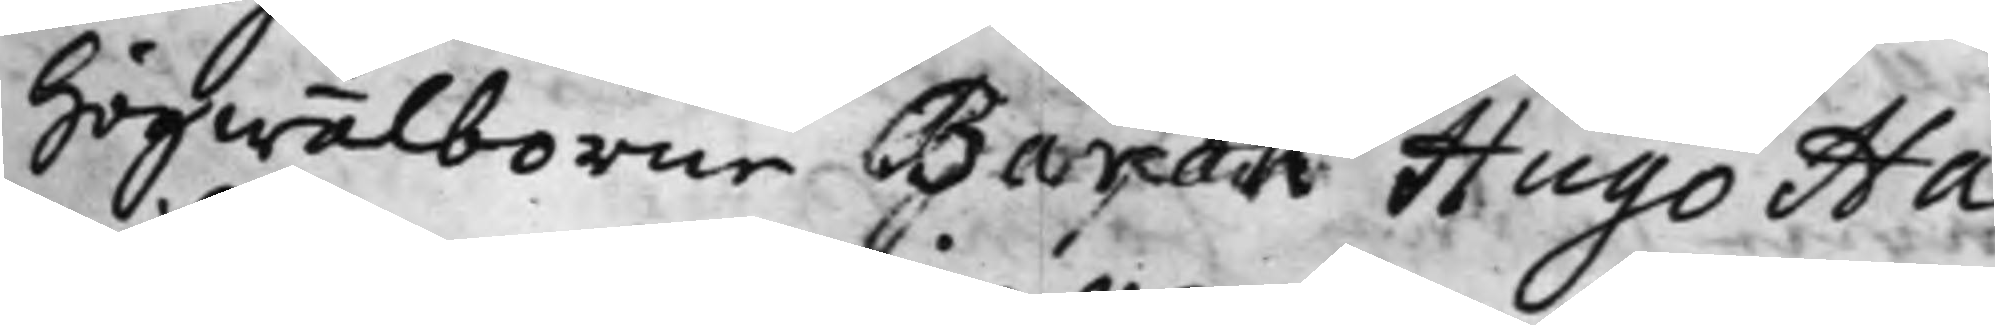Högwälborne Baron Hugo Ha¬
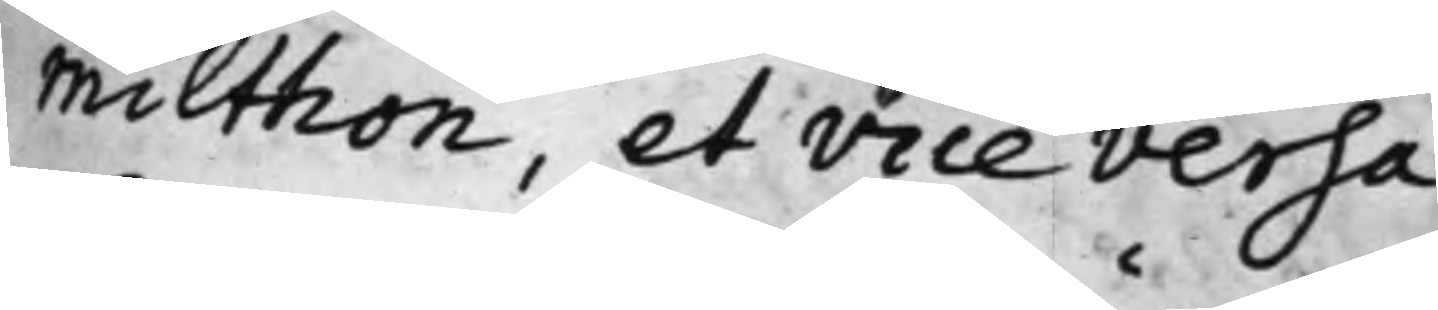milthon, et vice versa.
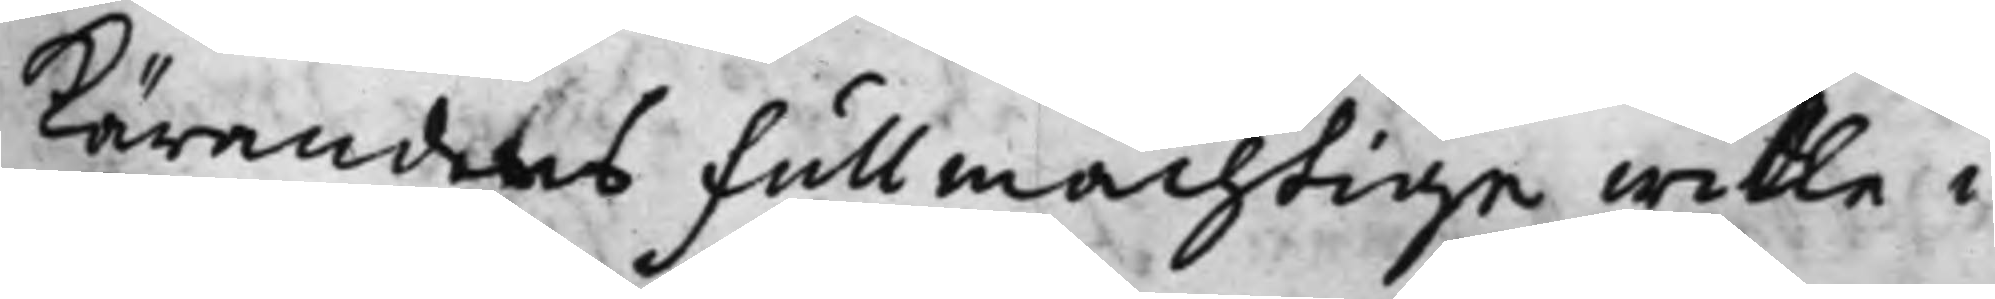Kärandens Fullmächtige wille i
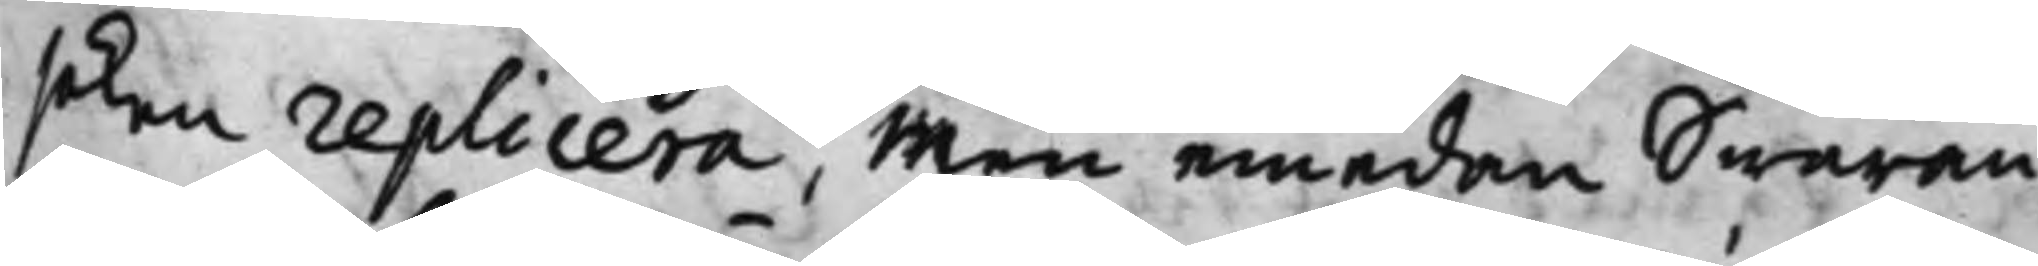soken replicera, Men emedan Swaran¬
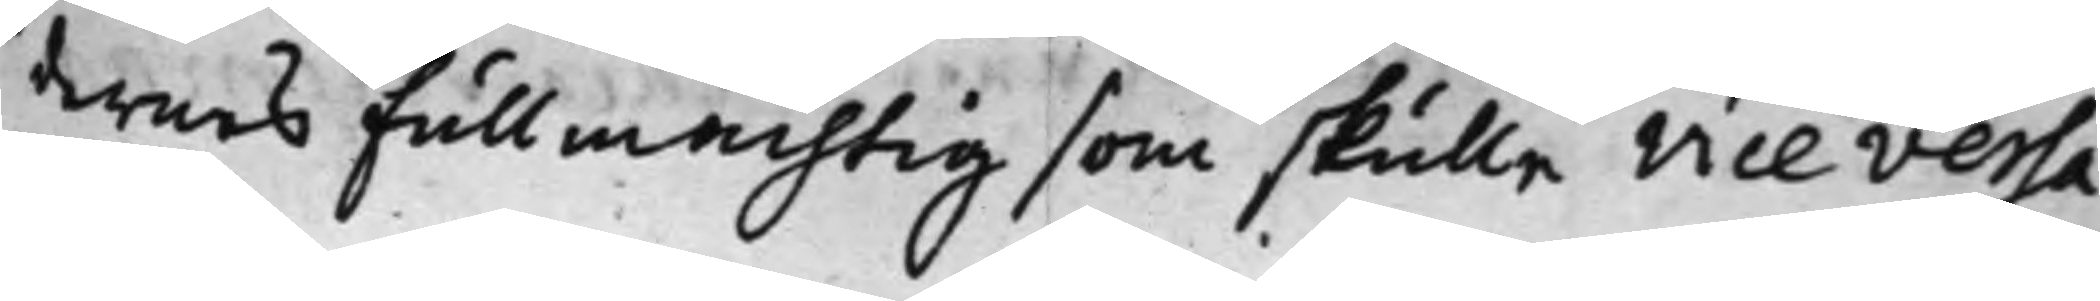dernes Fullmächtig som skulle vice versa
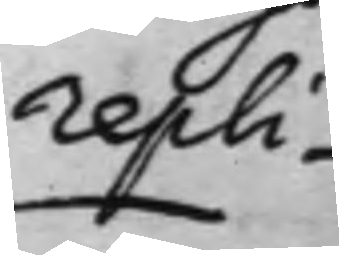repli¬
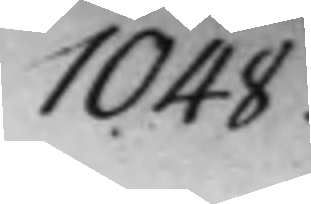1048.
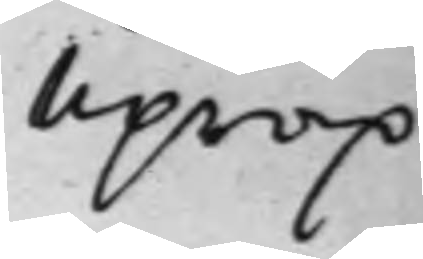uprop
